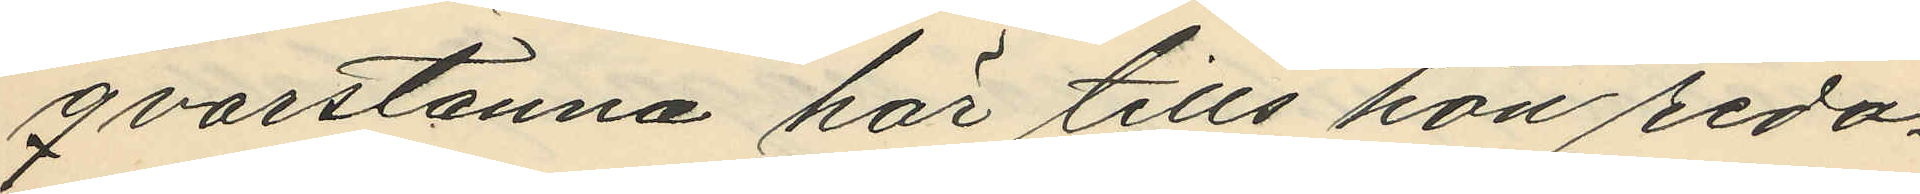qvarstanna här tills hon redo¬
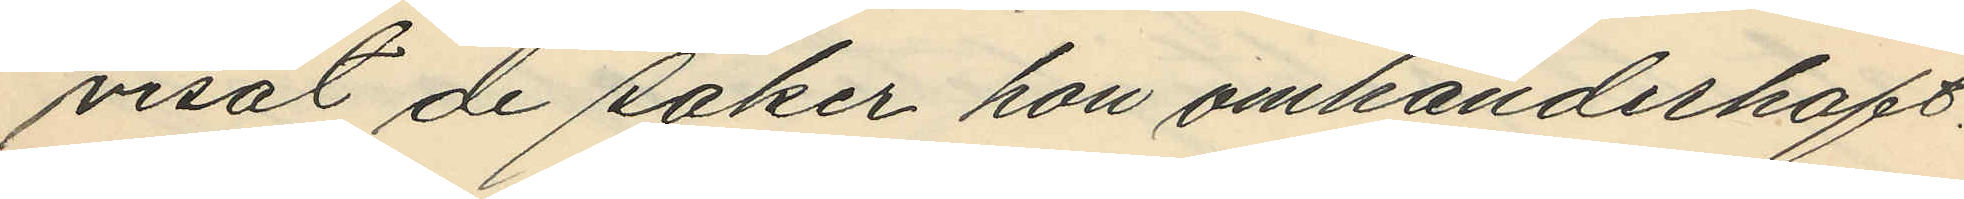visat de saker hon omhänderhaft.
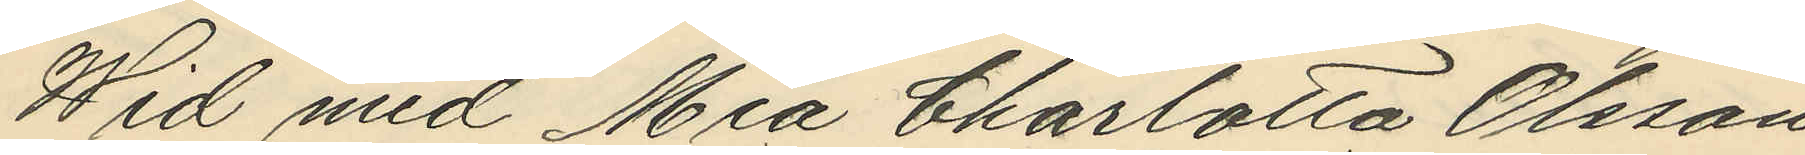Wid med Mia Charlotta Olsson
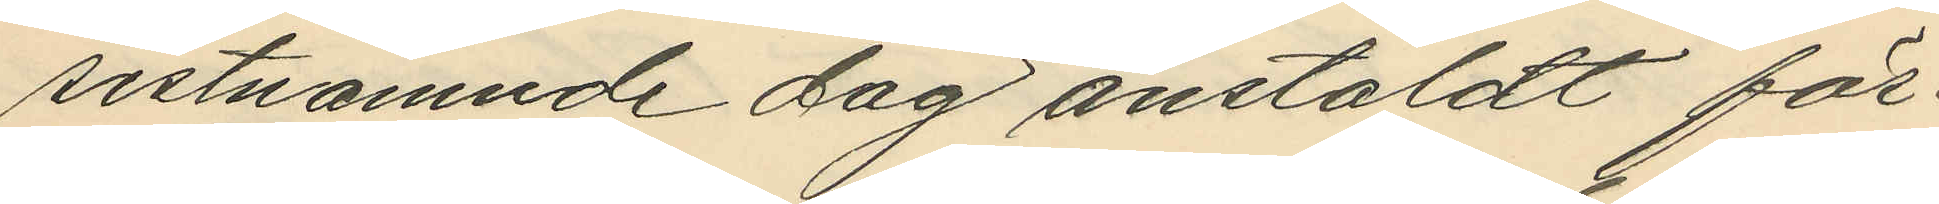sistnämnde dag anstäldt för¬
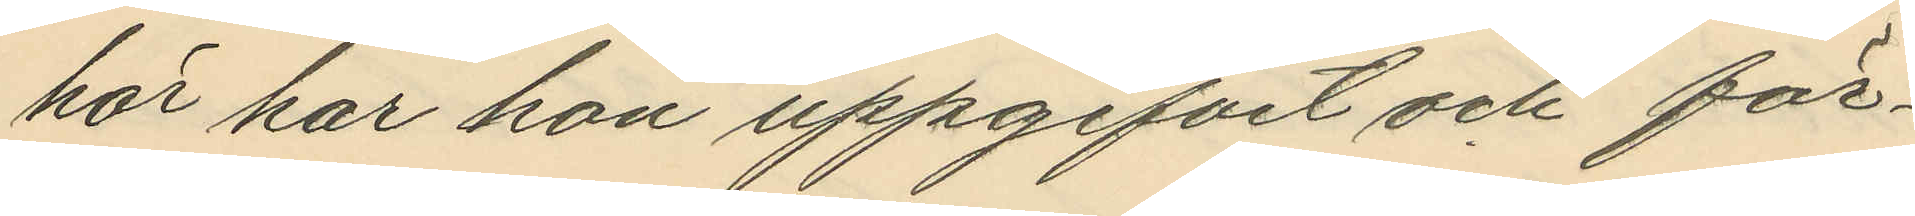hör har hon uppgifvit och för¬
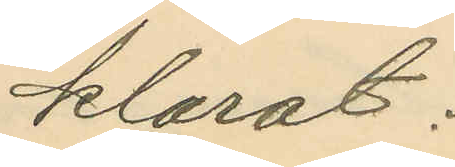klarat:
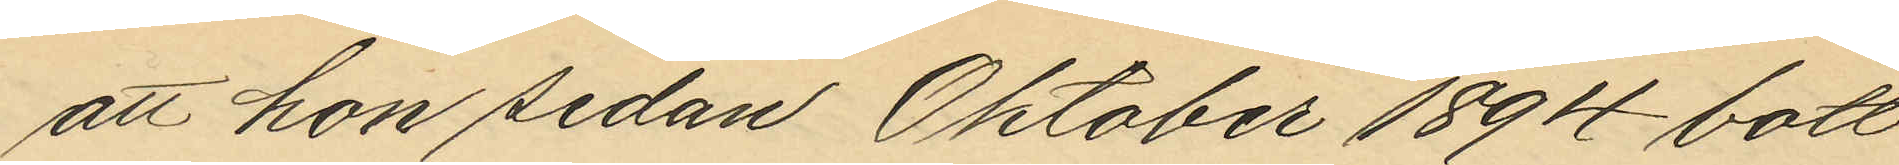att hon sedan Oktober 1894 bott
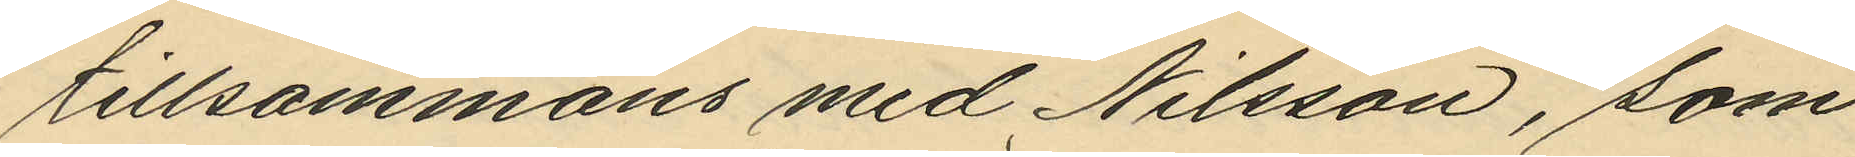tillsammans med Nilsson, som
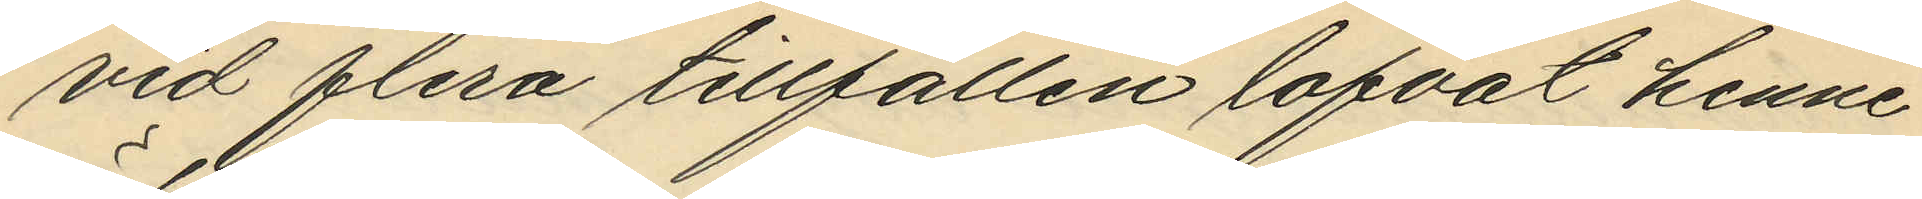vid flera tillfällen lofvat henne
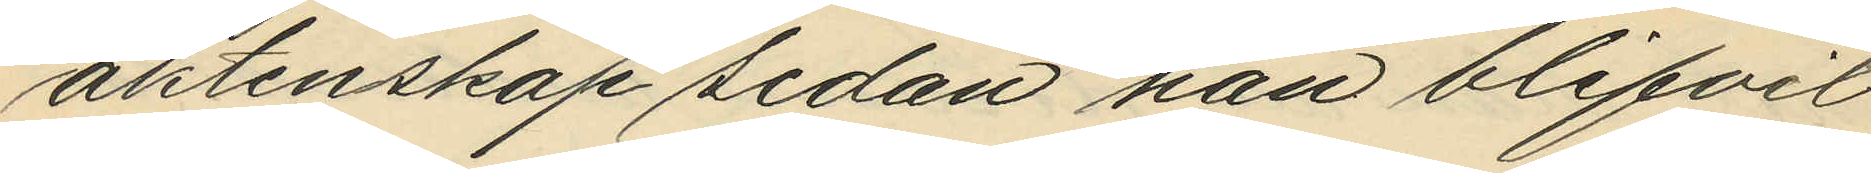äktenskap sedan han blifvit
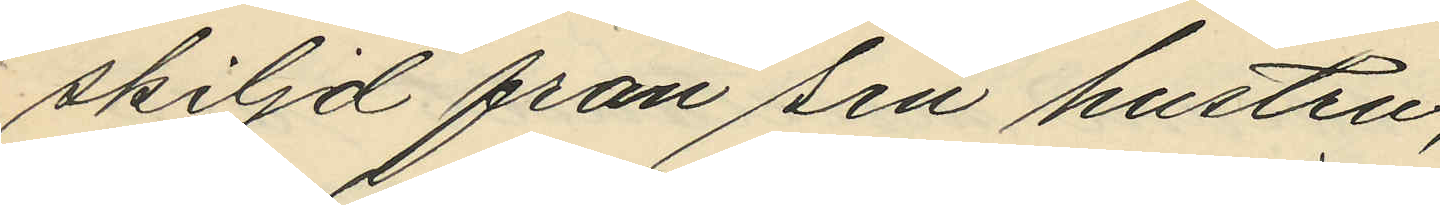skiljd från sin hustru,
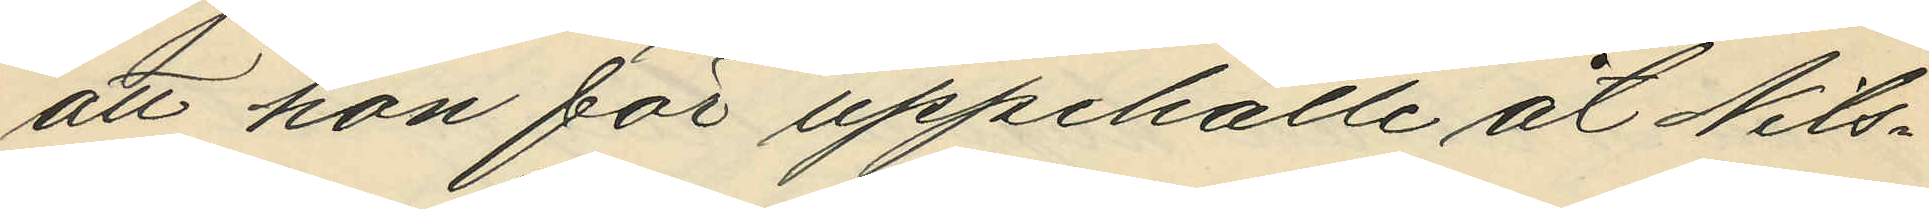att hon för uppehälle åt Nils¬
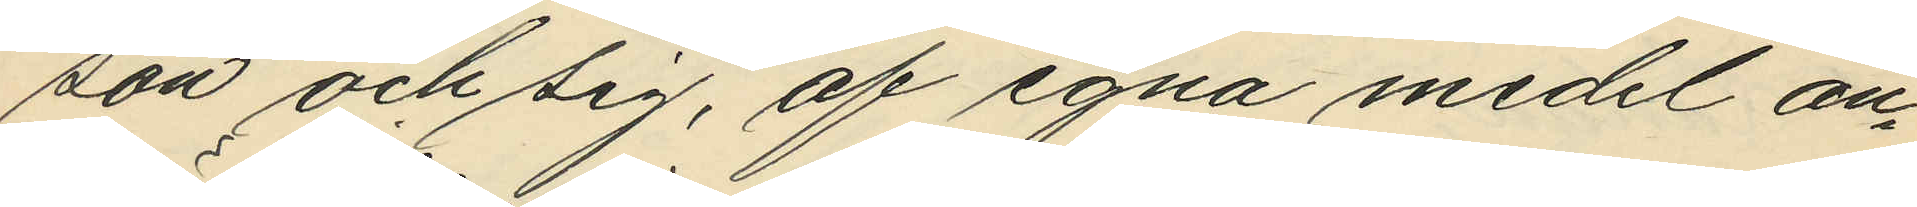son och sig, af egna medel an¬
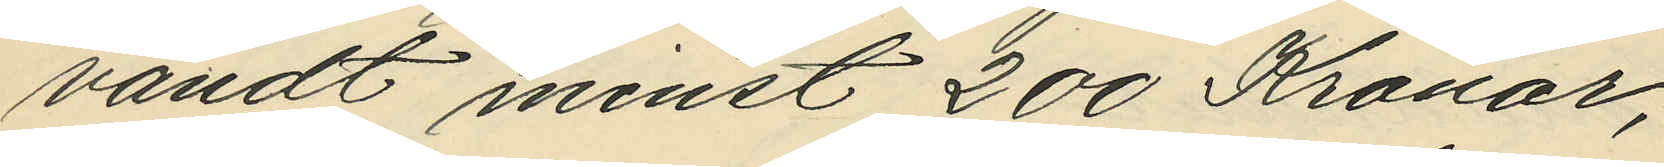vändt minst 200 Kronor;
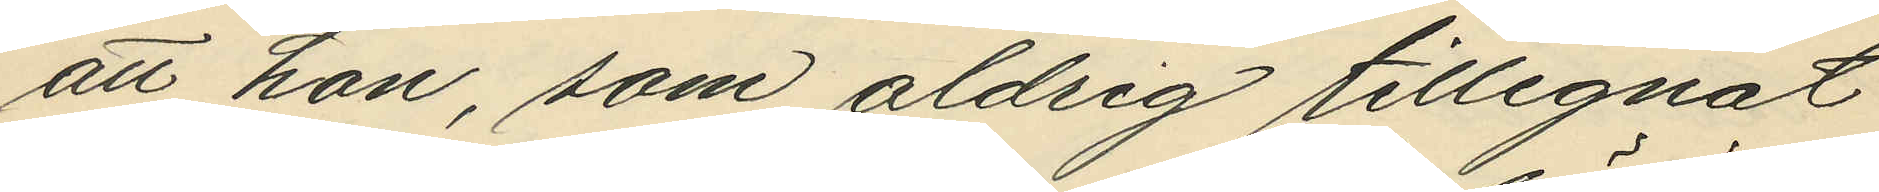att hon, som aldrig tillegnat
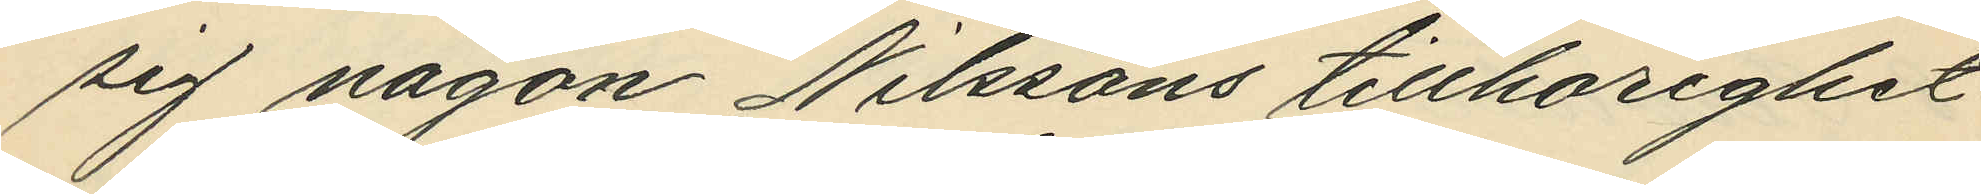sig någon Nilssons tillhörighet
